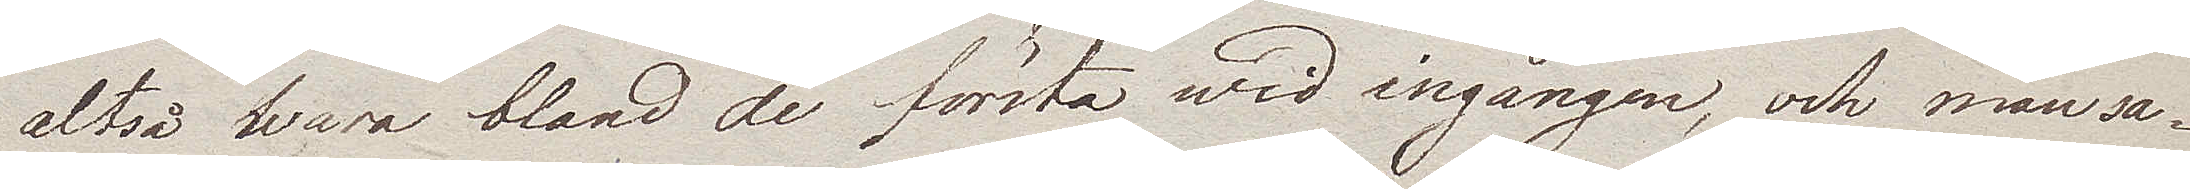altså wara bland de första wid ingången, och man sa¬
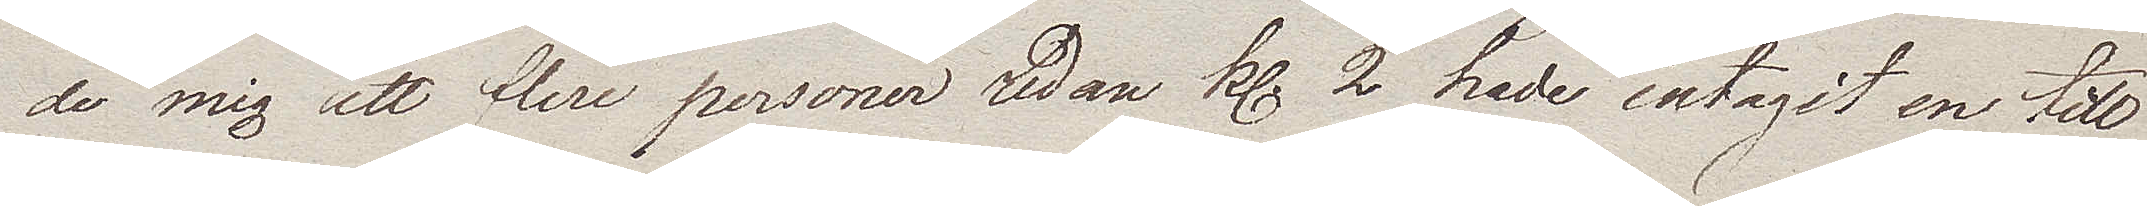de mig att flere personer redan kl. 2 hade intagit en till
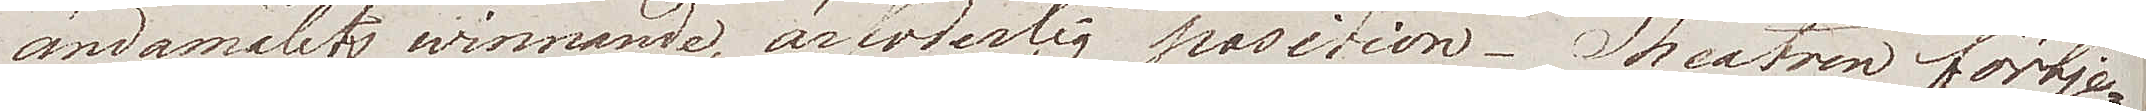ändamålets winnande ärfoderlig position. Theatren förtje¬
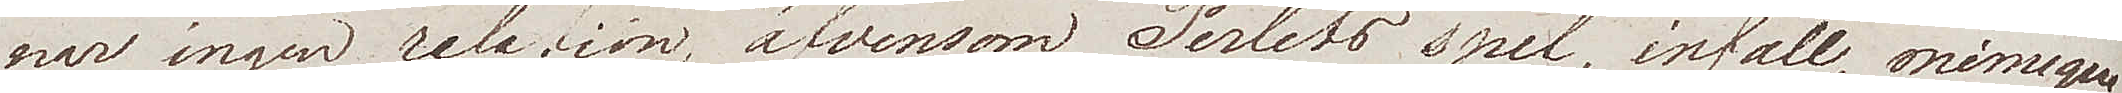nar ingen relation, äfvensom Perlets spel, infall, mimique
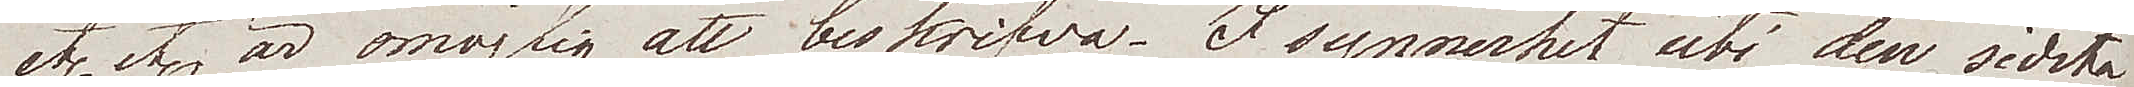etc etc är omöjlig att beskrifva. I synnerhet uti den sidsta
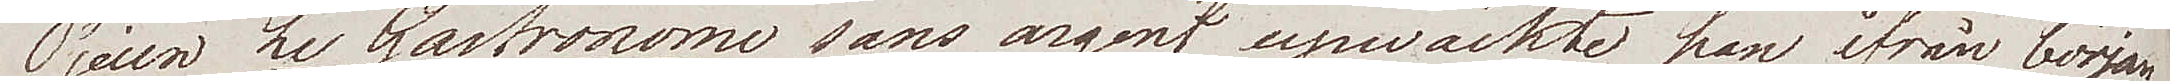Pjesen Le Gastronom sans argent upwäckte han ifrån början
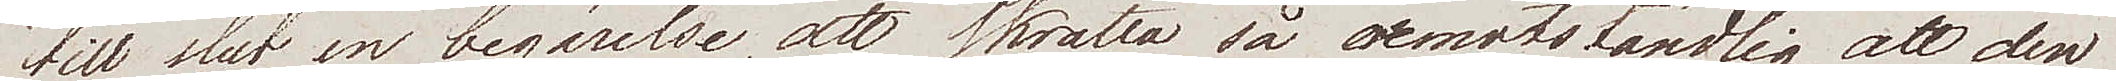till slut en begärelse, att skratta så oemotståndlig, at den
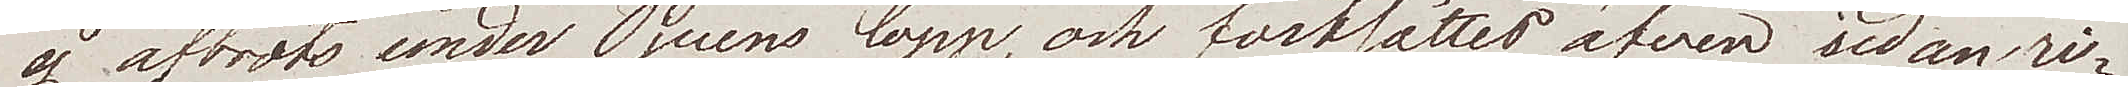ej afbröts under Pjesens lopp, och fortsättes äfven sedan ri¬
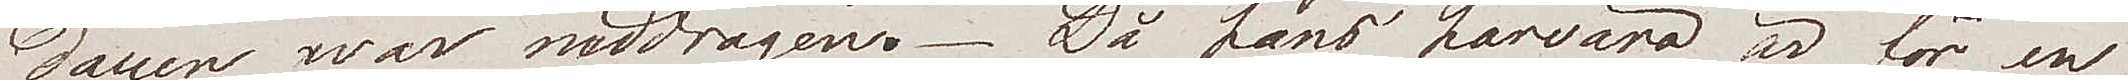dauen war neddragen. Då hans härvaro är för en
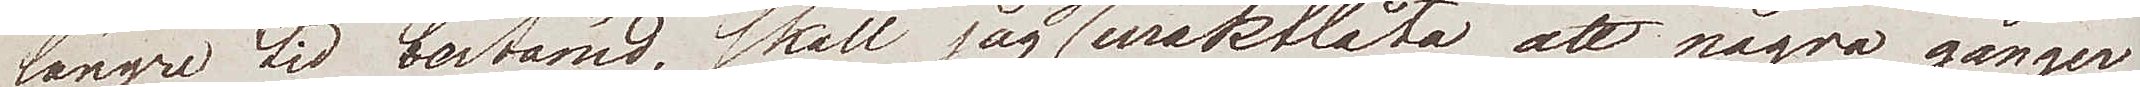längre tid bestämd, skall jag ej uraktlåta att några gånger
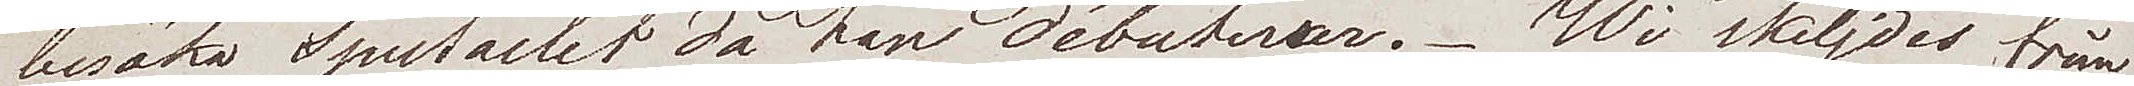besöka Spectaclet då han Débuterar. Wi skiljdes från
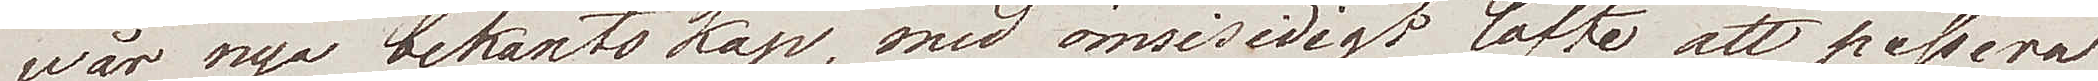wår nya bekantskap, med ömsesidigt löfte att passera
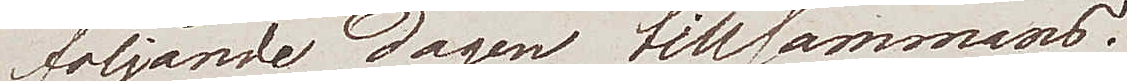följande dagen tillsammans.
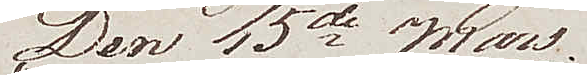De 15de Mars.
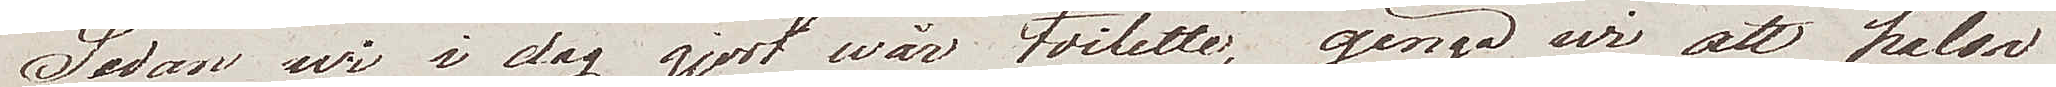Sedan wi i dag gjort wår toilette, gingo wi att hälsa
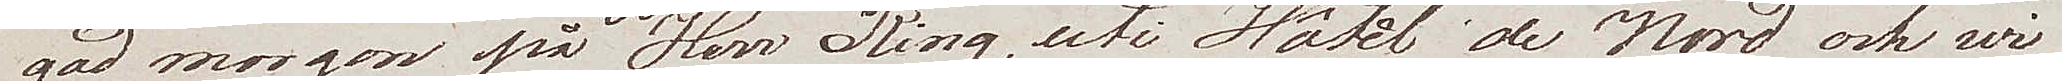god morgon på Herr Ring, uti Hôtel de Nord och wi
